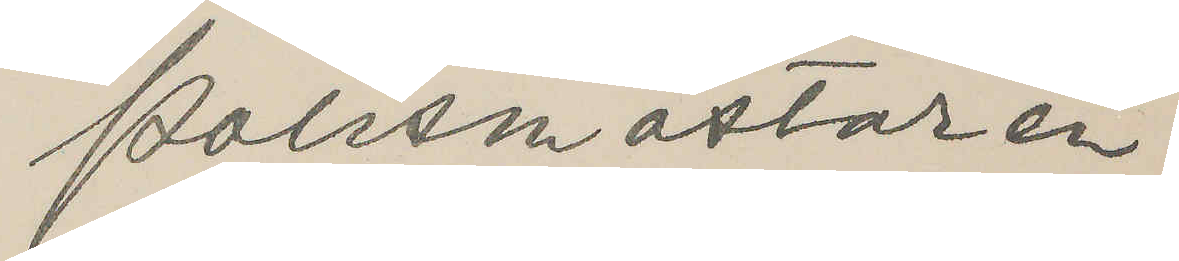Polismästaren.
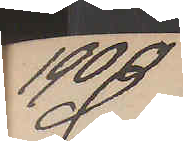1900
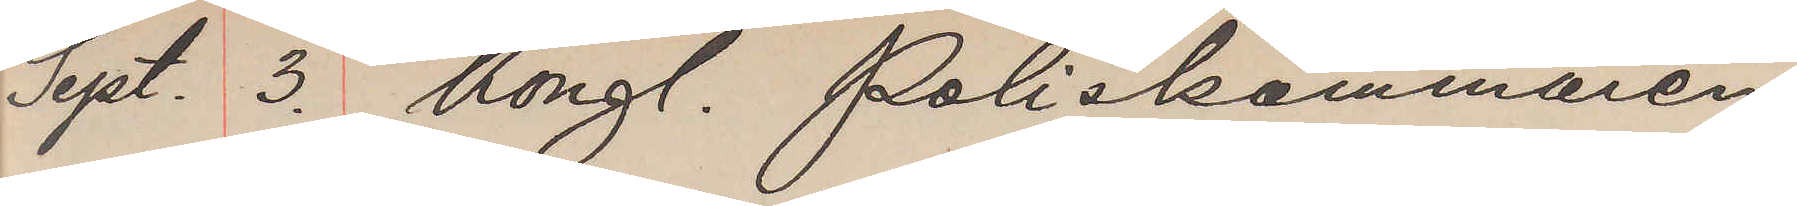Sept. 3. Kongl. Poliskammaren
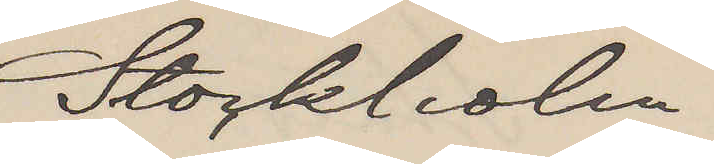Stockholm
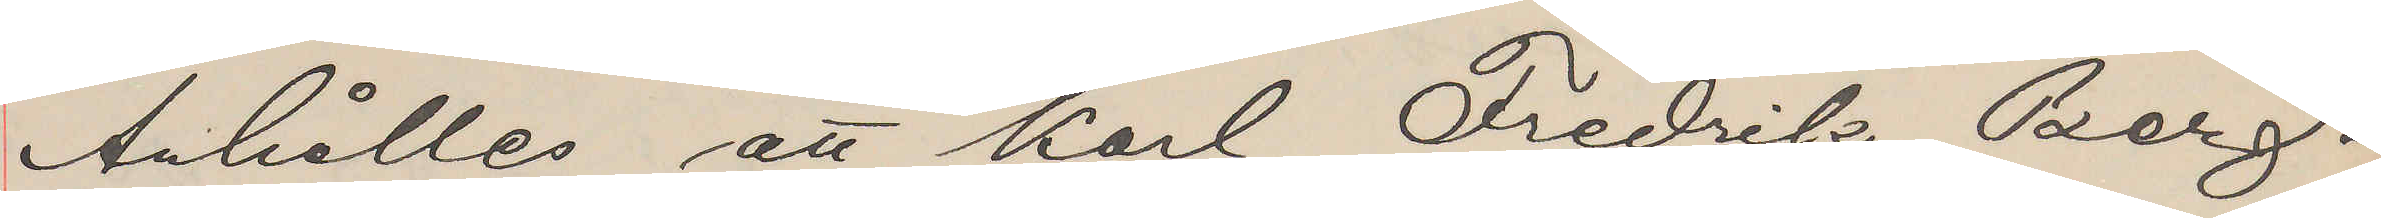Anhålles att Karl Fredrik Berg¬
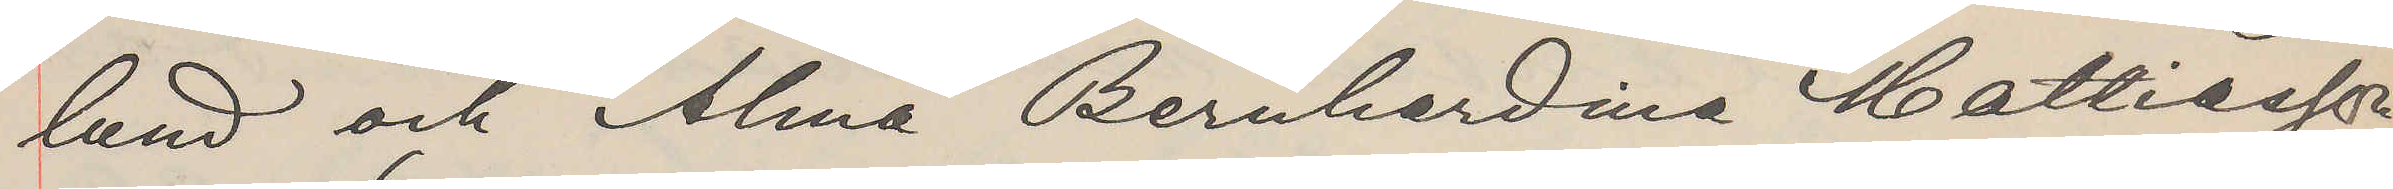lund och Alma Bernhardina Mattiasson,
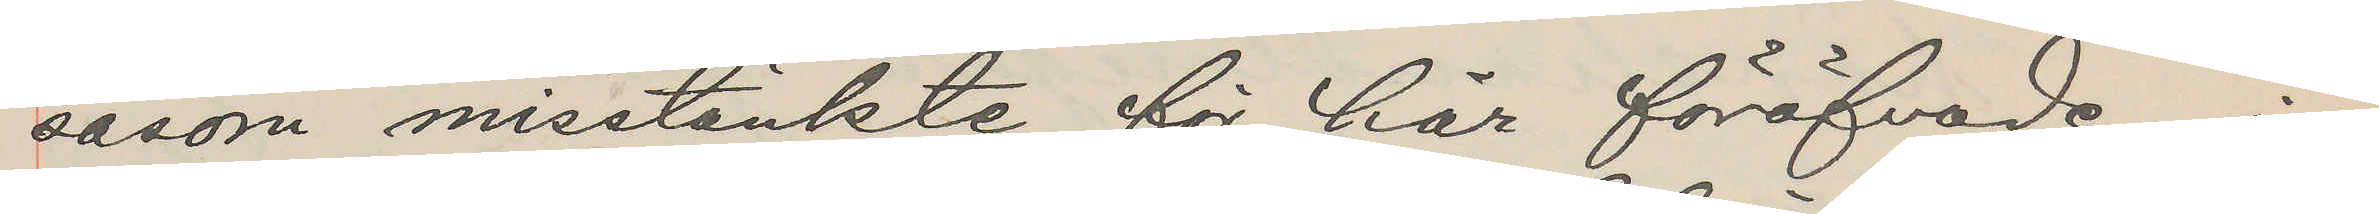såsom misstänkte för här föröfvade in¬
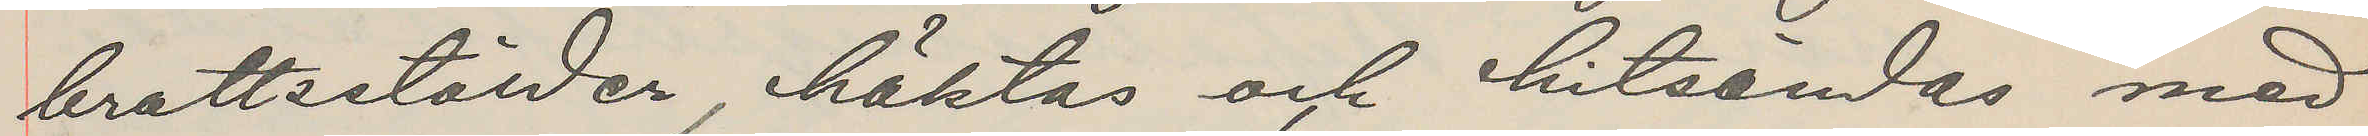brottsstölder, häktas och hitsändes med
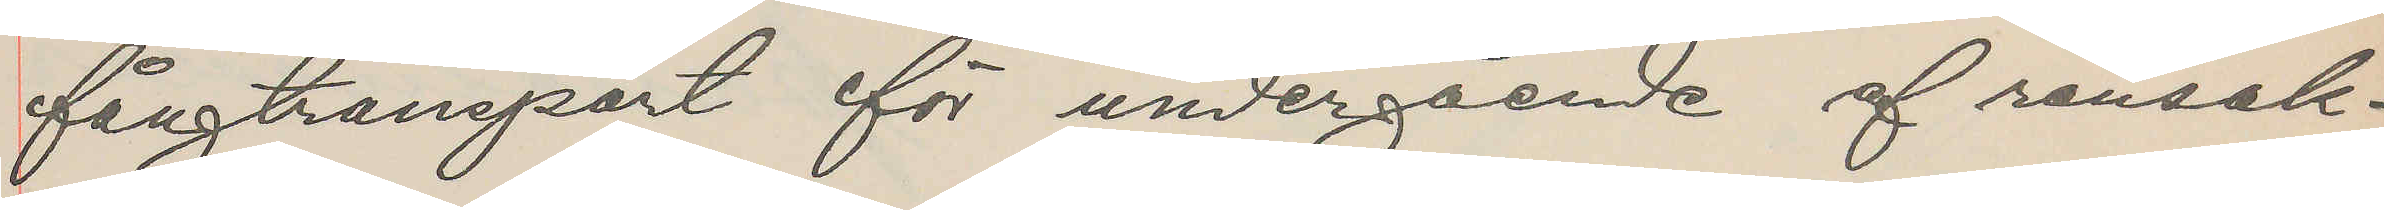fångtransport för undergående af ransak¬
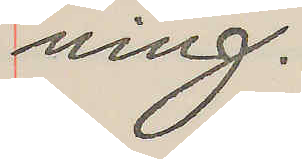ning.
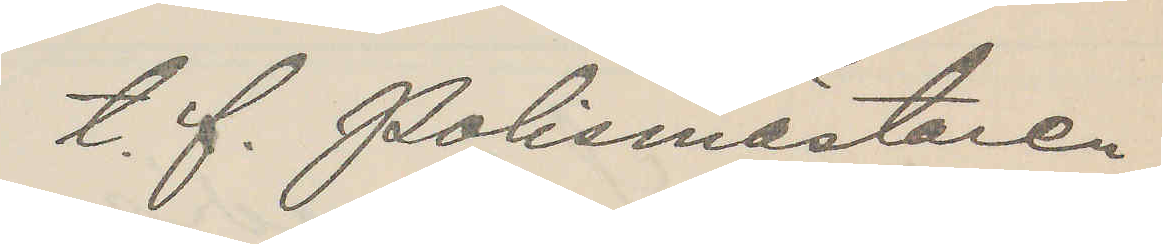t. f. Polismästaren
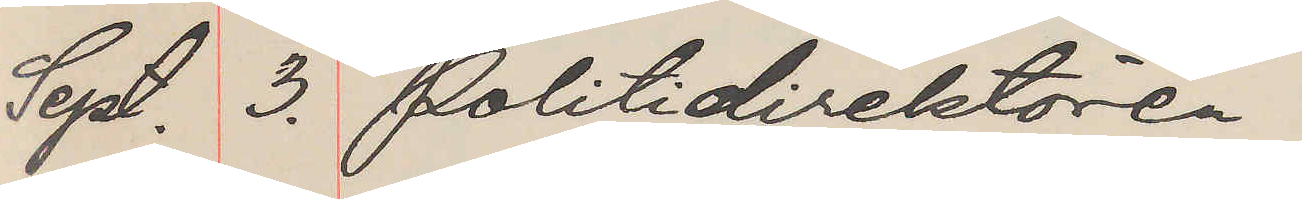Sept. 3. Politidirektören
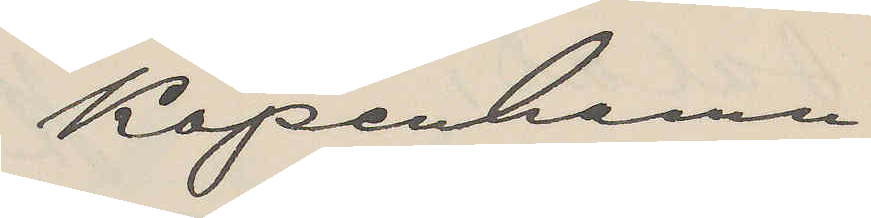Köpenhamn
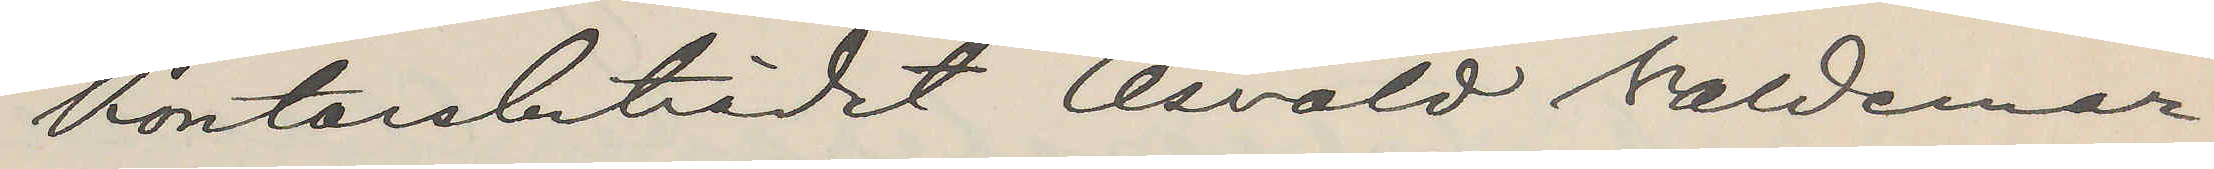Kontorsbiträdet Osvald Waldemar
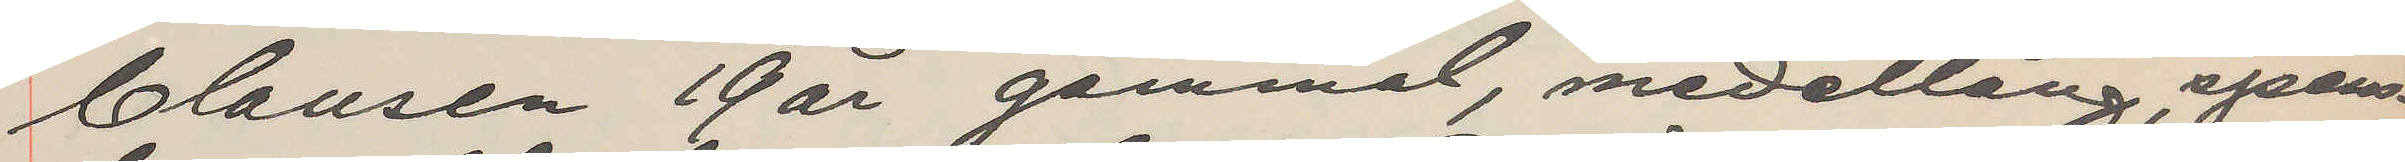Clausen 19 år gammal, medellång,spens¬ 
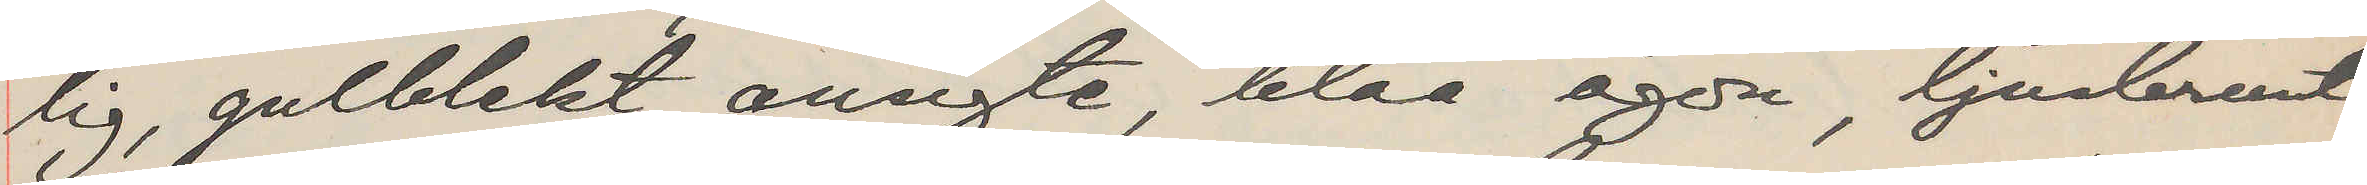tig, gulblekt ansigte, blåa ögon, ljusbrunt
